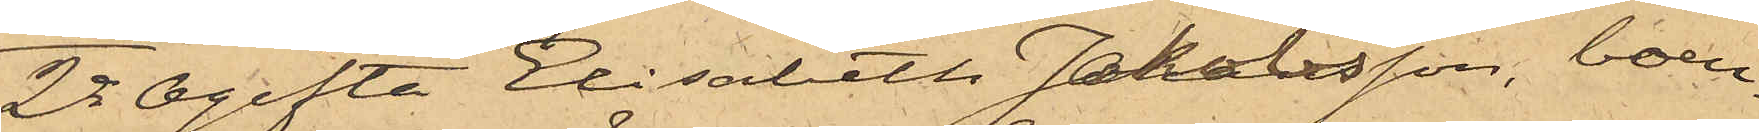2o Ogifta Elisabeth Johansson, boen¬
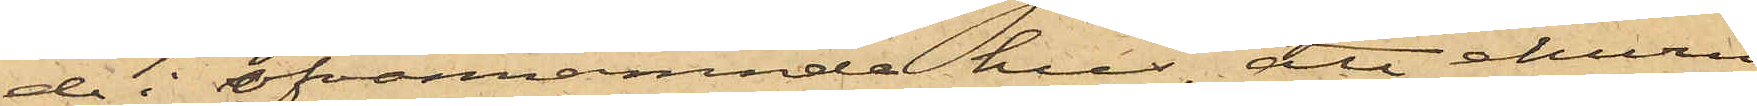de i ofvannämnde hus, att ehuru
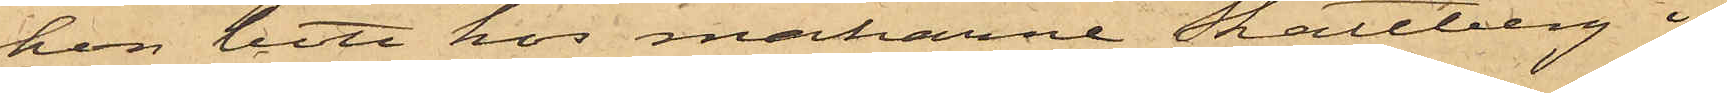hon bott hos makarne Skattberg i
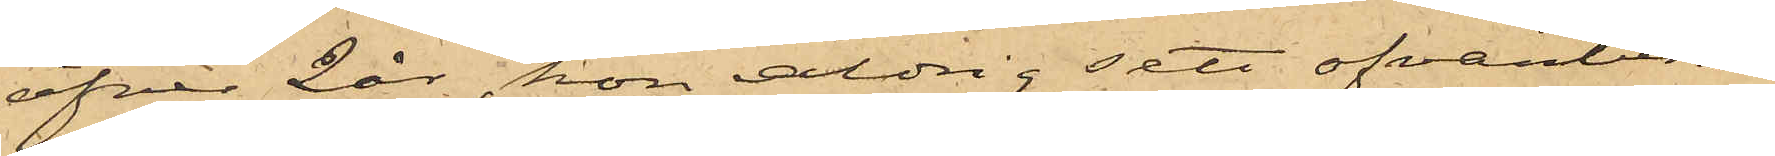öfver 2 år, hon aldrig sett ofvanberörde
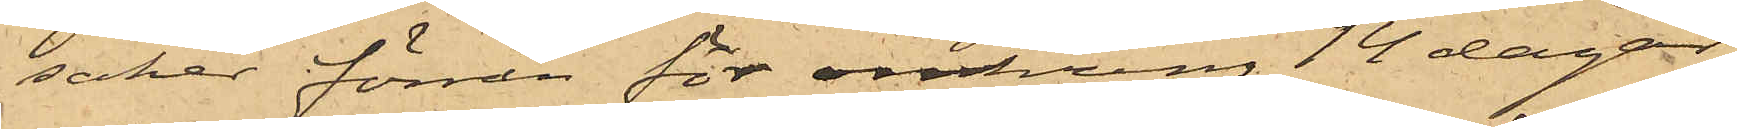saker förrän för omkring 14 dagar
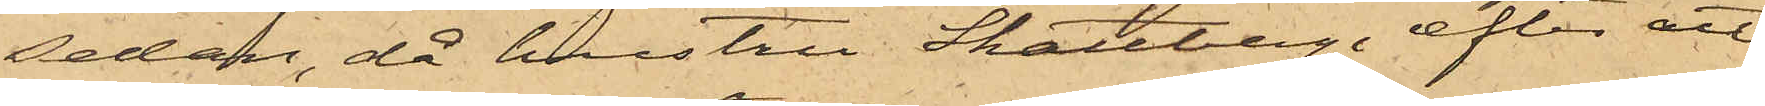sedan, då hustru Skattberg, efter att
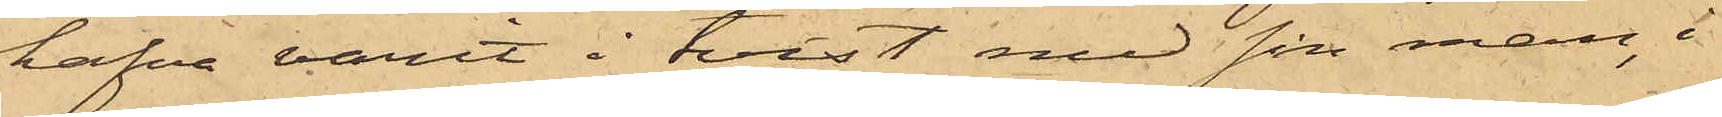hafva varit i tvist med sin man, i
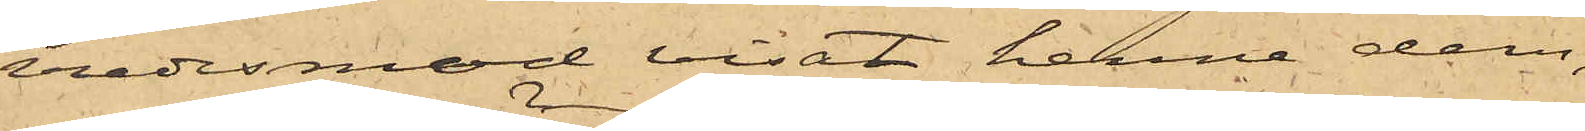vredesmod visat henne dem,
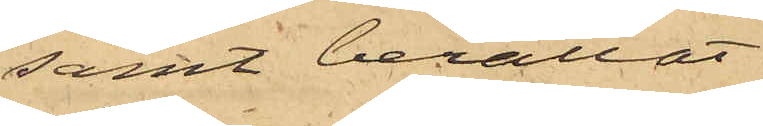samt berättat
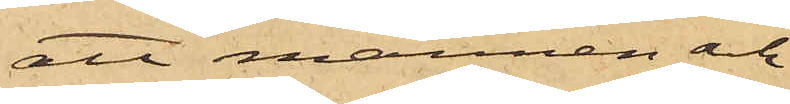att mannen och
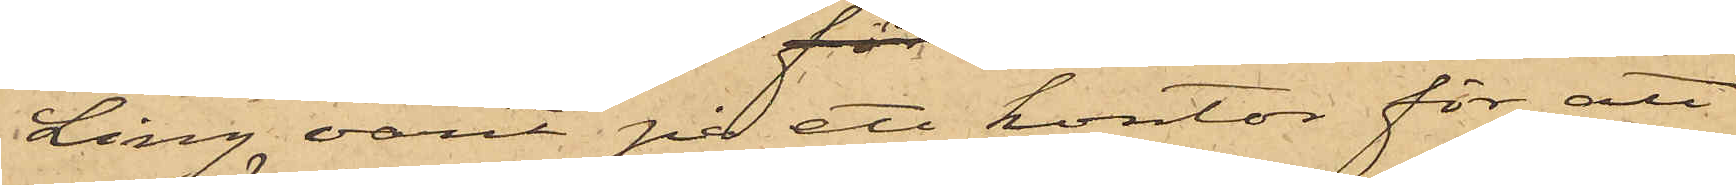Ling varit på ett kontor för att
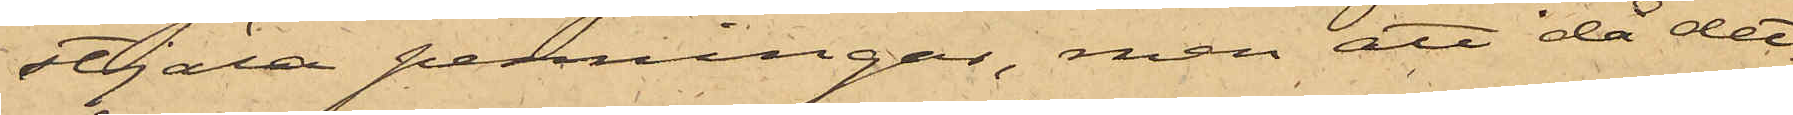stjäla penningar, men att då det¬
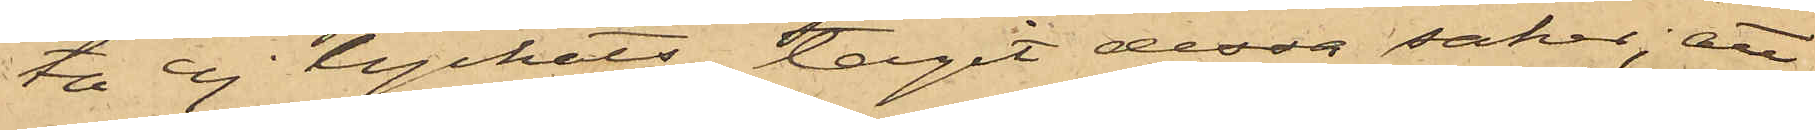ta ej lyckats, tagit dessa saker; att
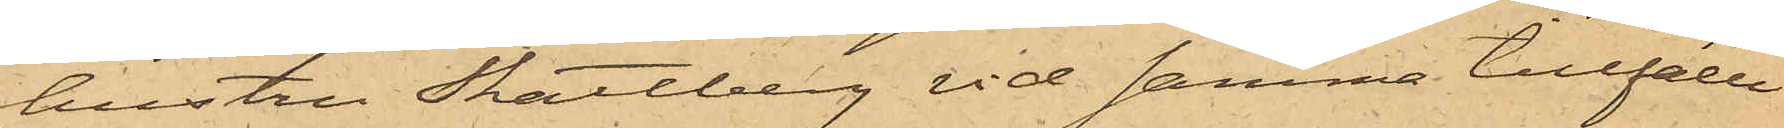hustru Skattberg vid samma tillfälle
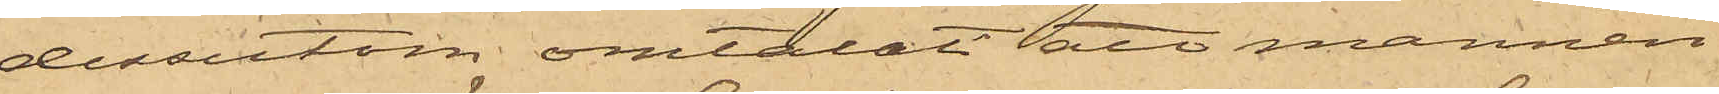dessutom omtalat att mannen
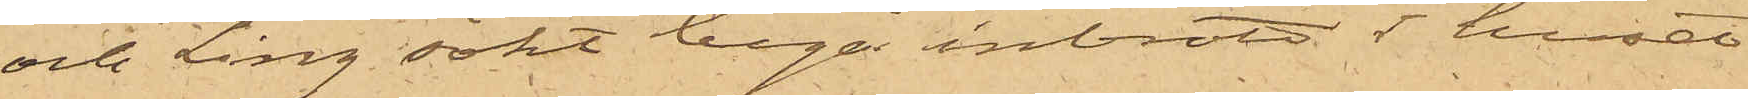och Ling sökt begå inbrott i huset
